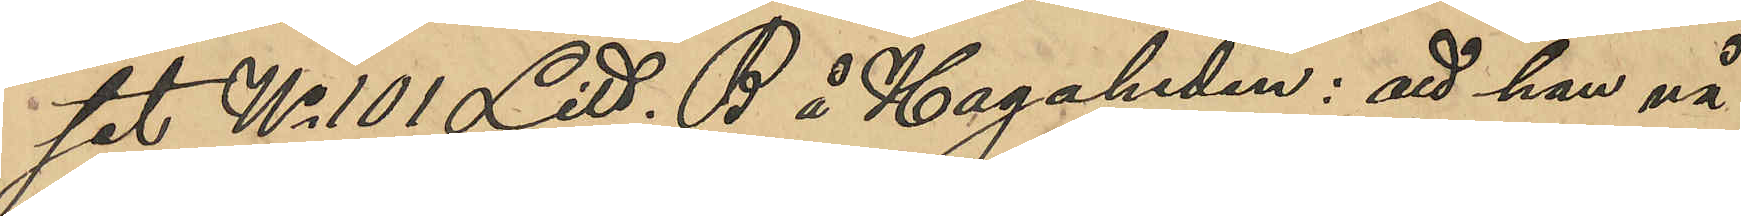set No 101 Litt. B å Hagaheden: att han nå¬
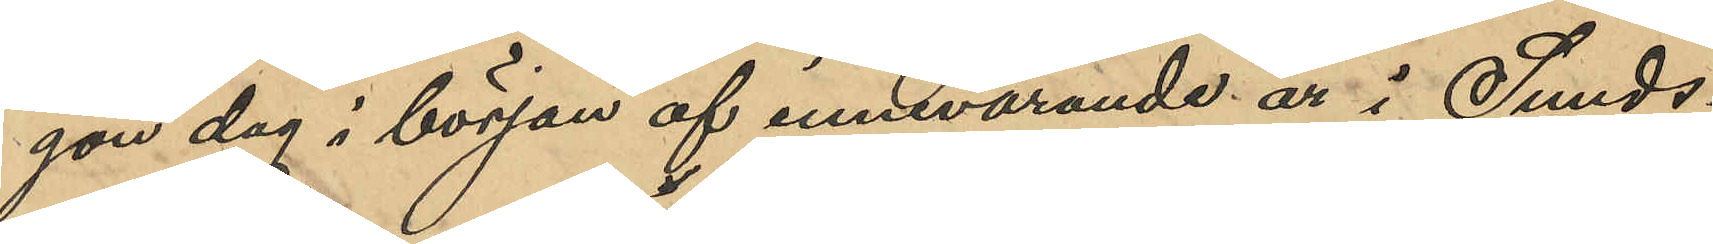gon dag i början af innevarande år i Sunds¬
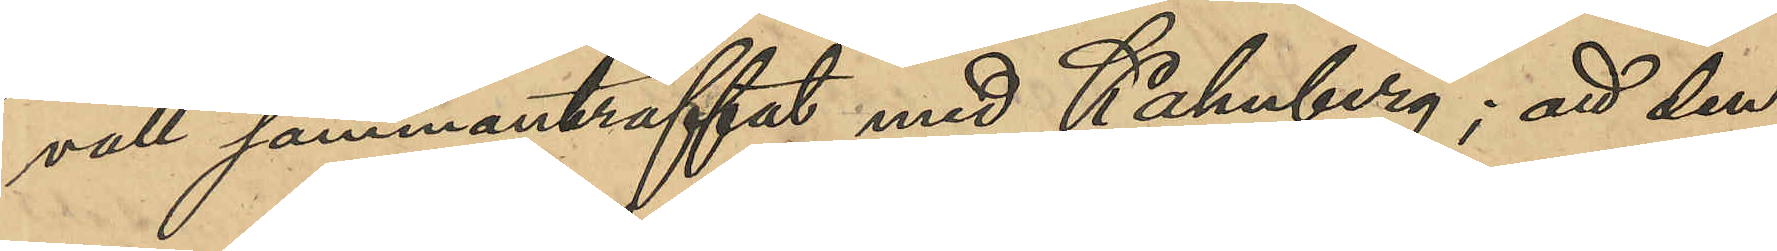vall sammanträffat med Kahnberg; att den¬
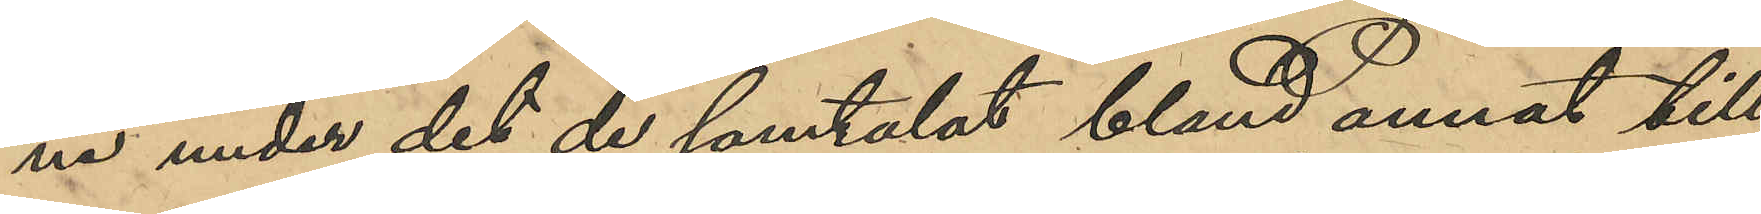ne under det de samtalat bland annat till¬
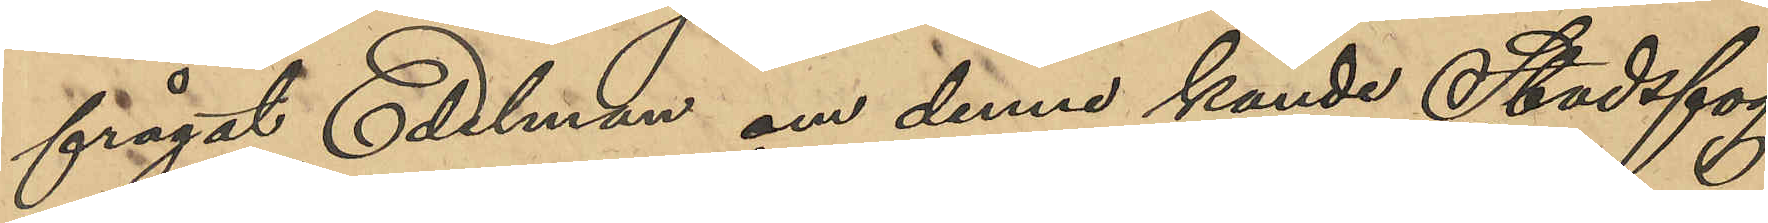frågat Edelman om denne kände Stadsfog¬
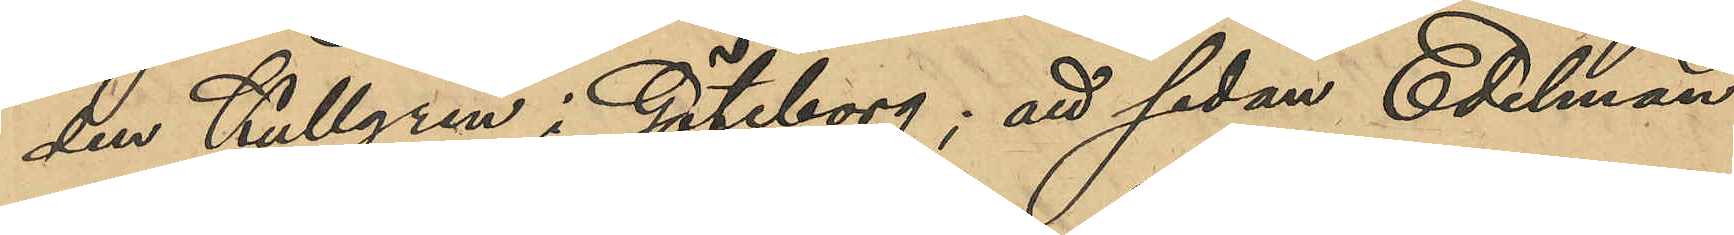den Kullgren i Göteborg; att sedan Edelman
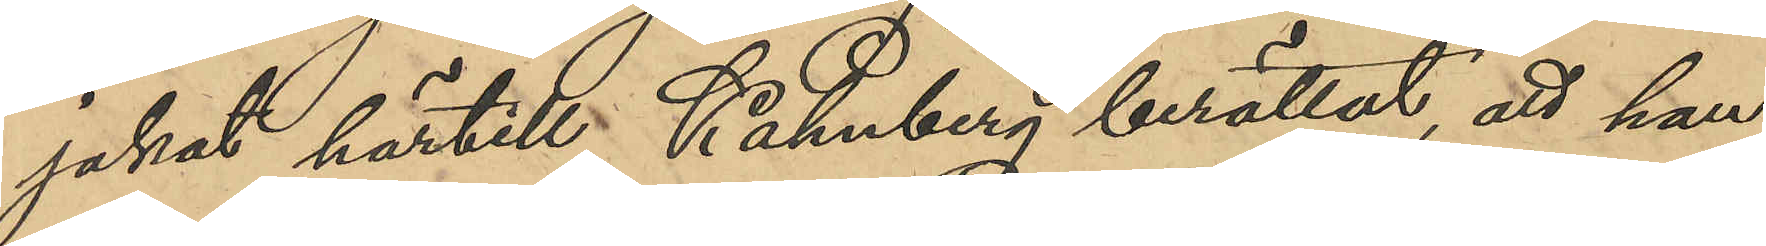jakat härtill, Kahnberg berättat, att han
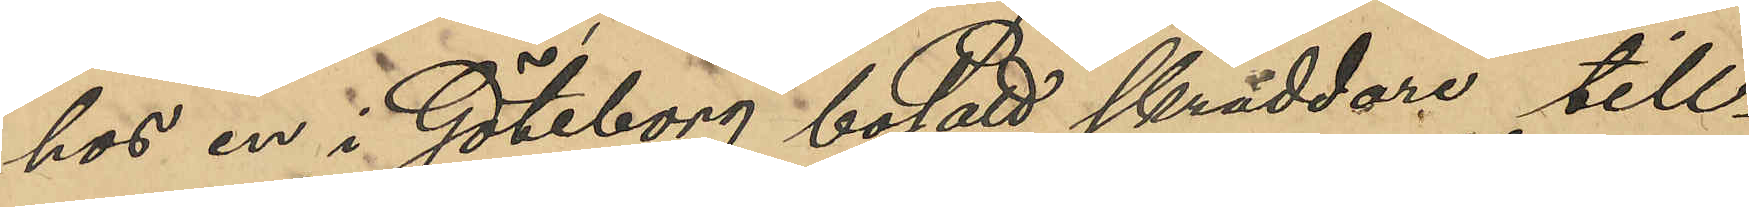hos en i Göteborg bosatt skräddare till¬
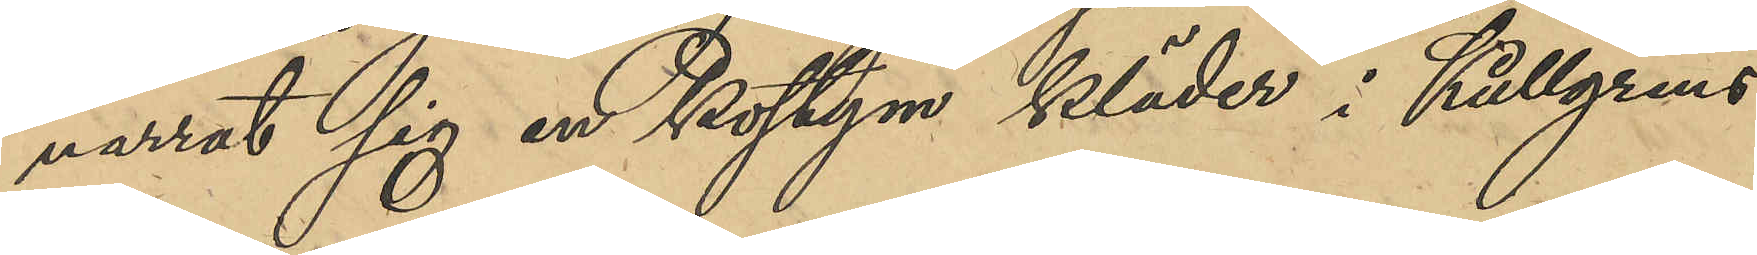narrat sig en kostym kläder i Kullgrens
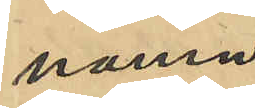namn;
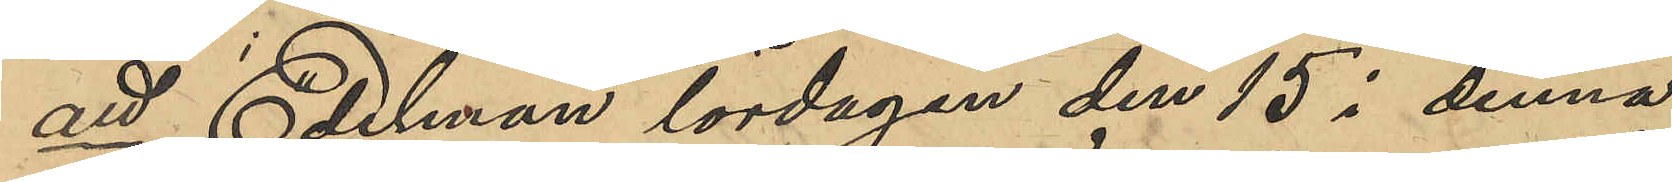att Edelman lördagen den 15 i denna
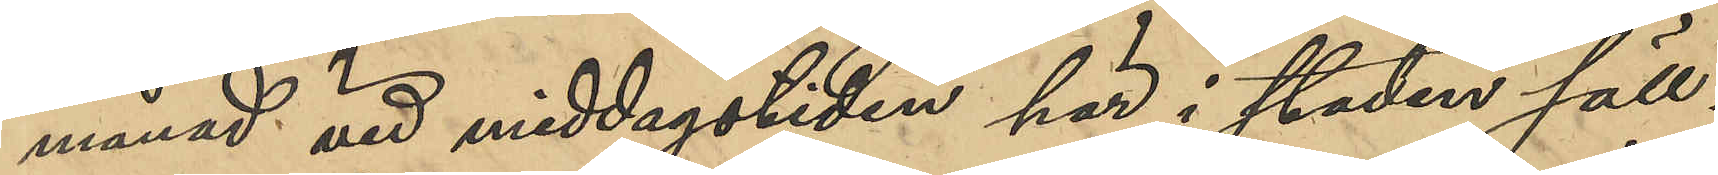månad vid middagstiden här i staden säll¬
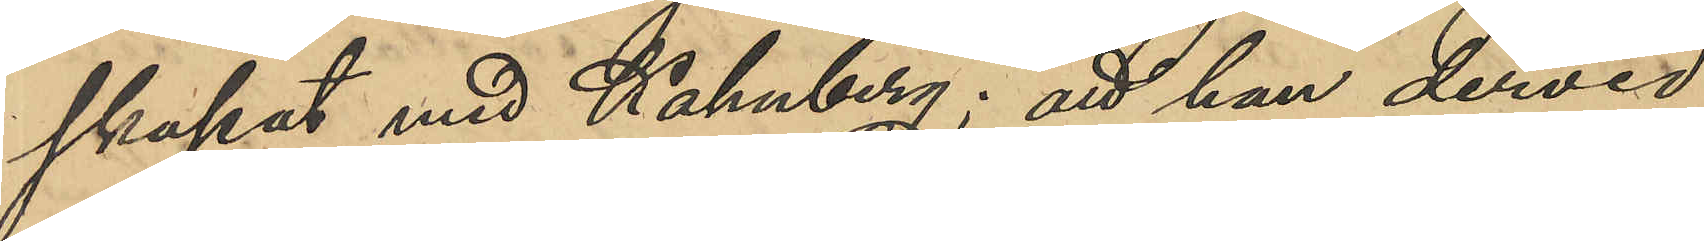skapat med Kahnberg; att han dervid
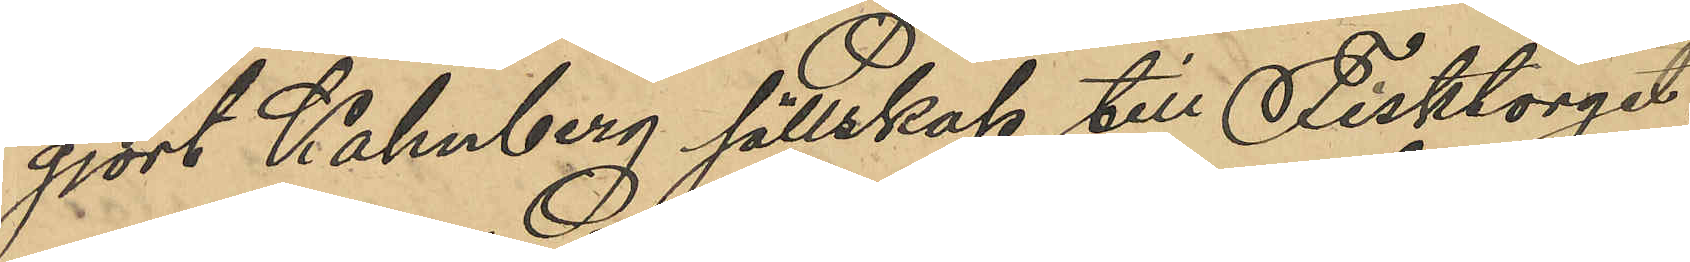gjort Kahnberg sällskap till Fisktorget,
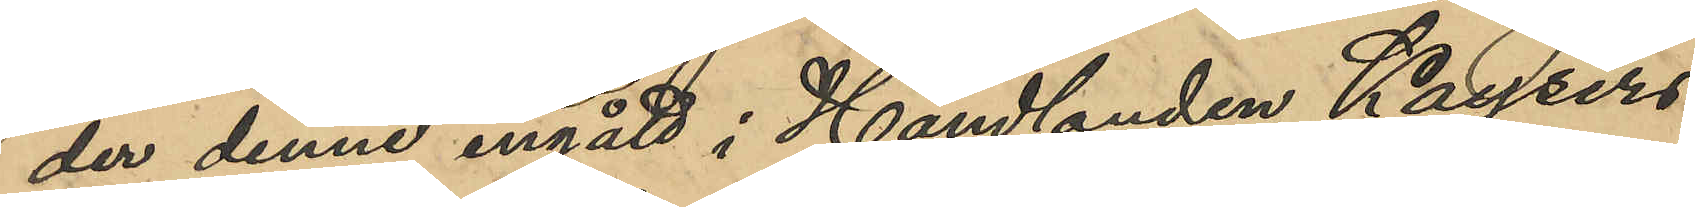der denne ingått i Handlanden Kaysers
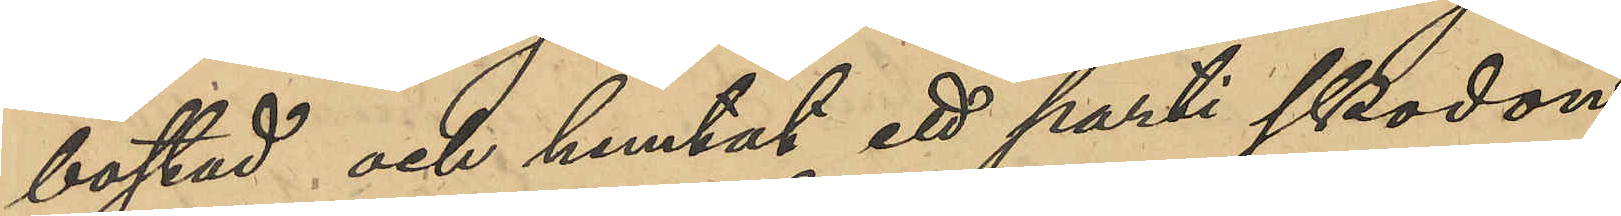bostad och hemtat ett parti skodon
